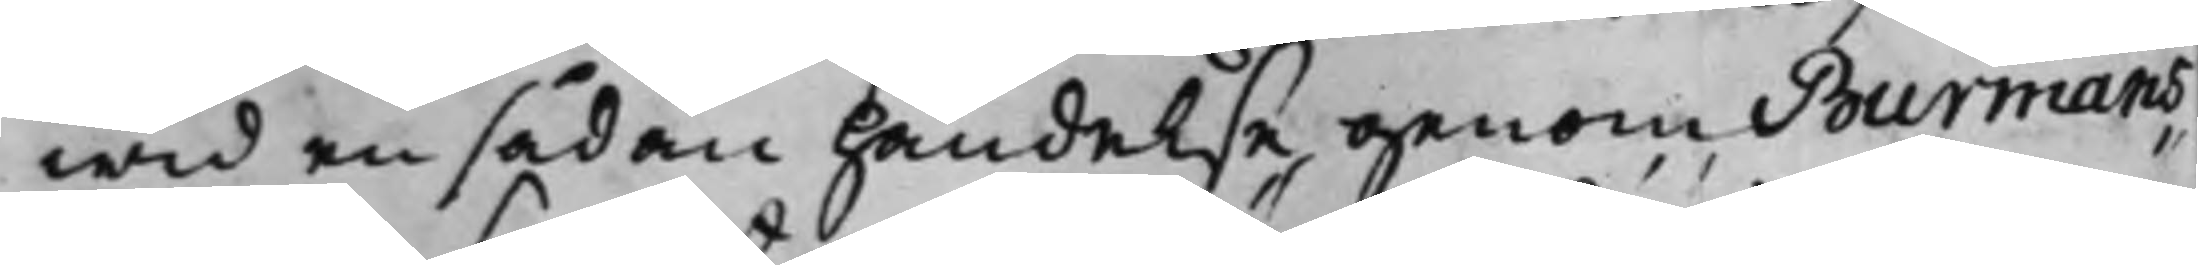wid en sådan händelse genom Burmans
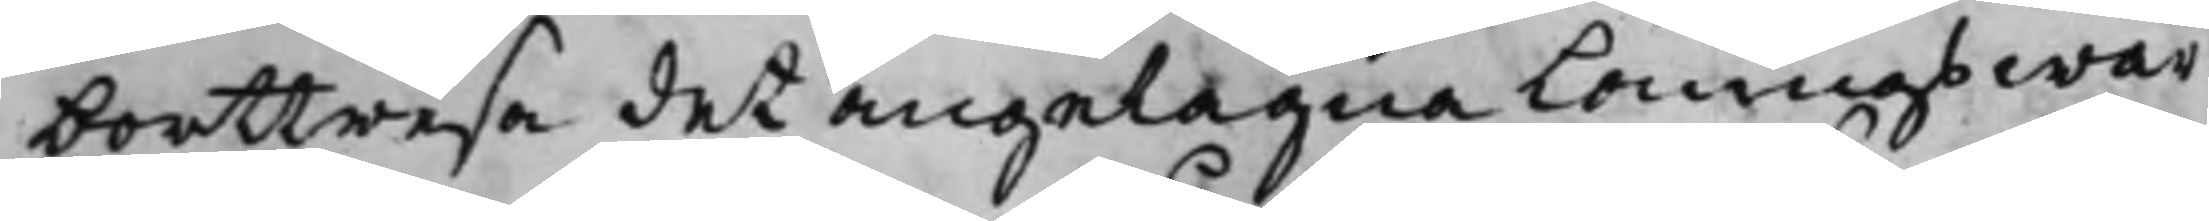borttresa det angelägna Löningswär¬
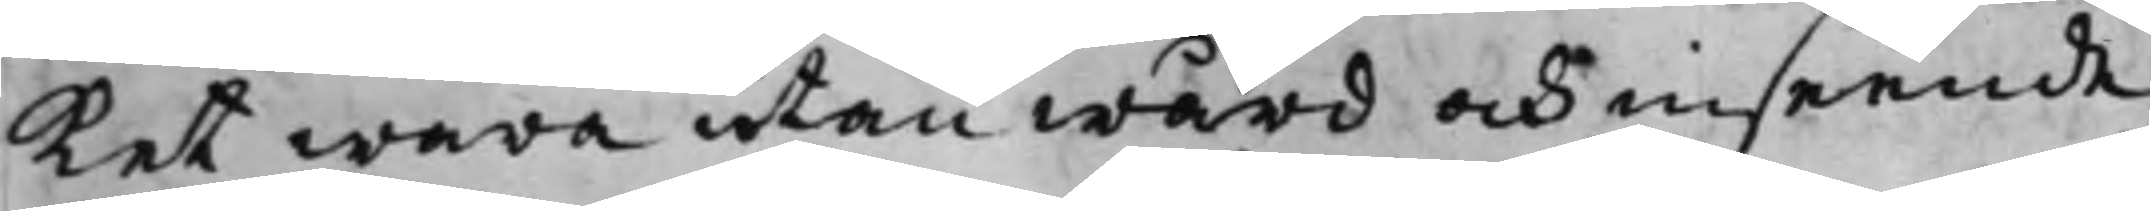ket wara utan wård och inseende
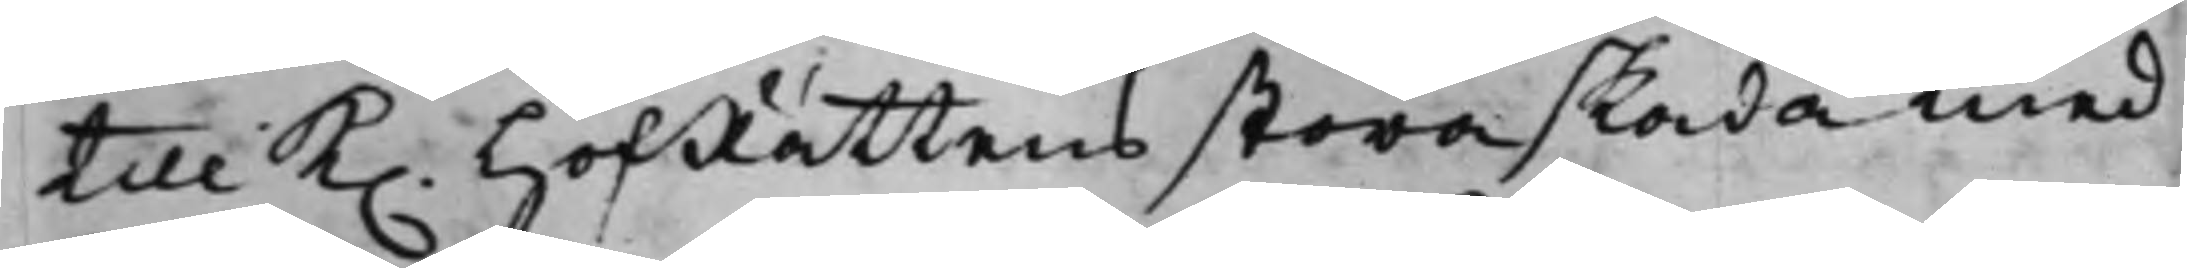till K. HofRättens stora skada med
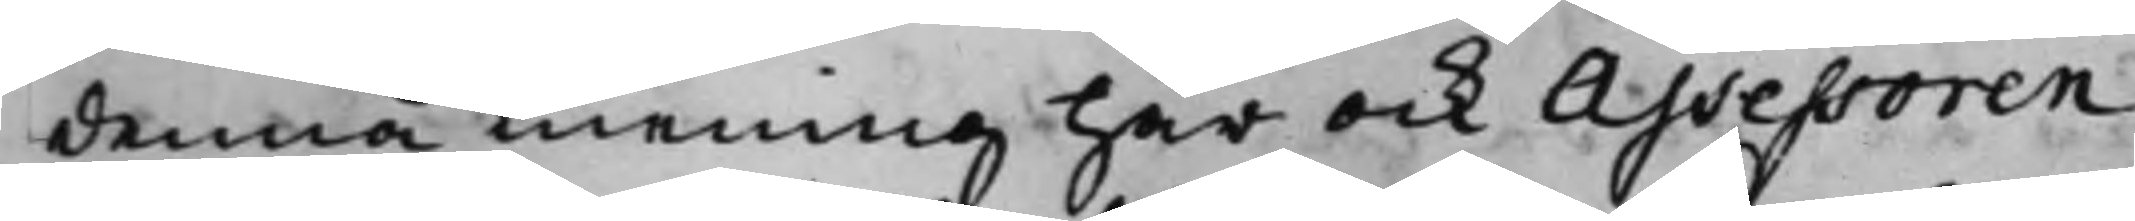denna mening har ock Assessoren
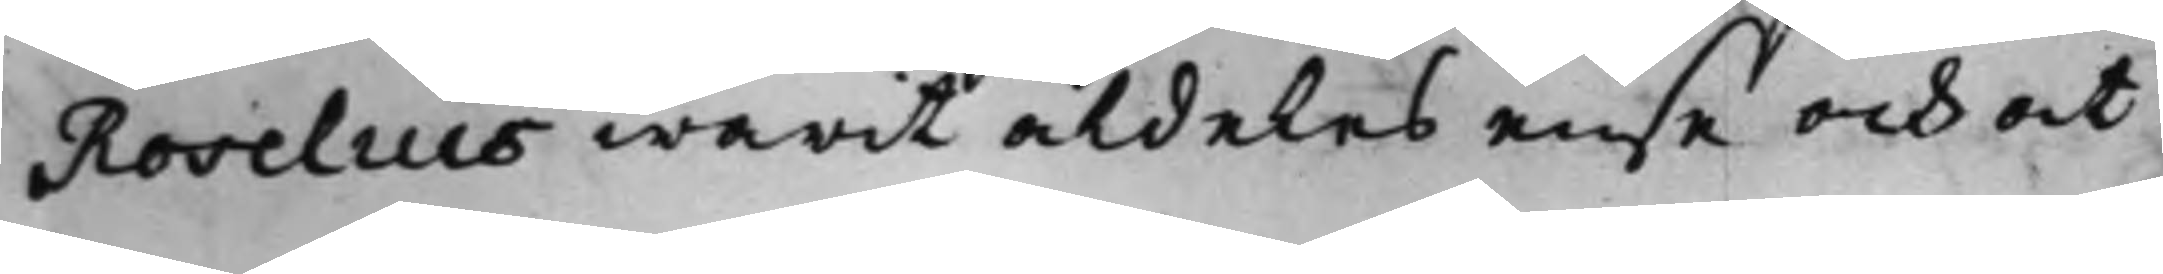Roselius warit aldeles ense och at
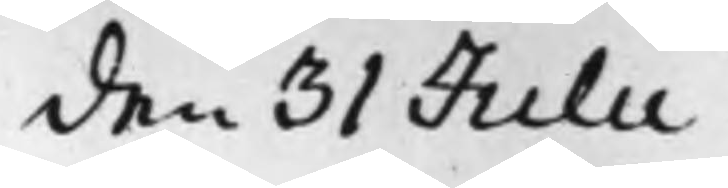den 31 Julii
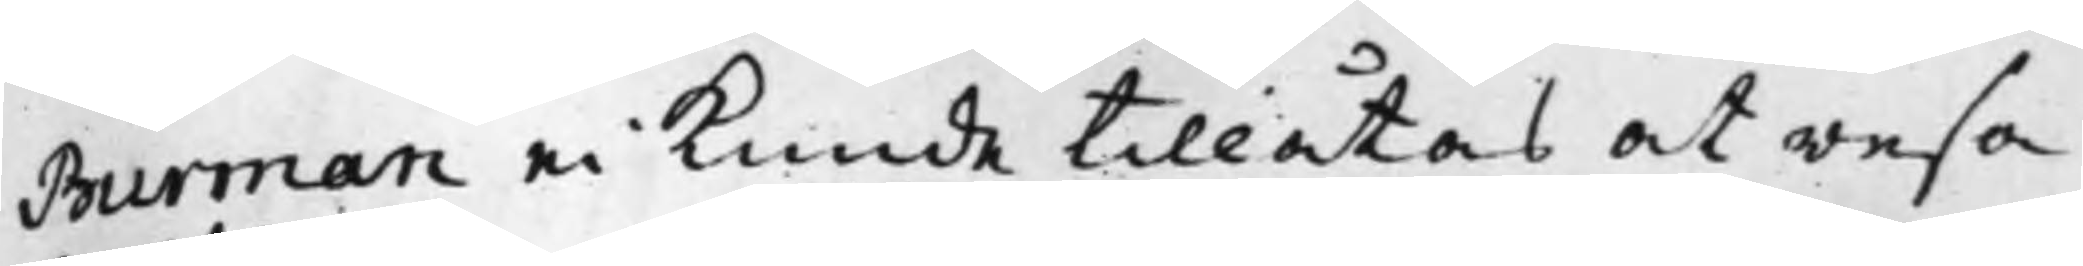Burman ei kunde tillåtas at resa
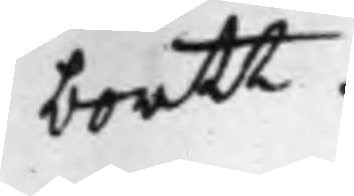bortt.
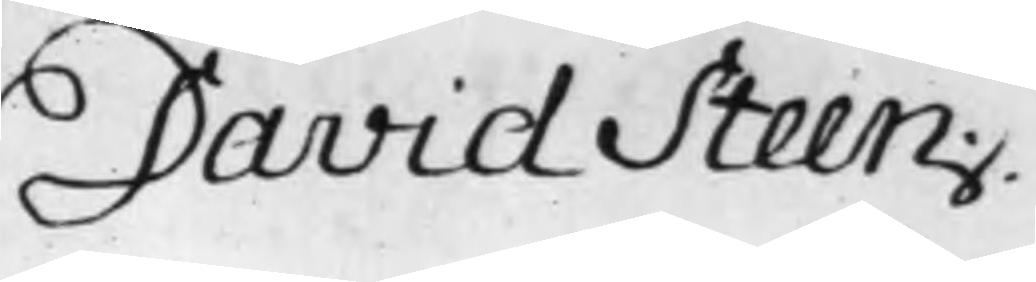David Steen.
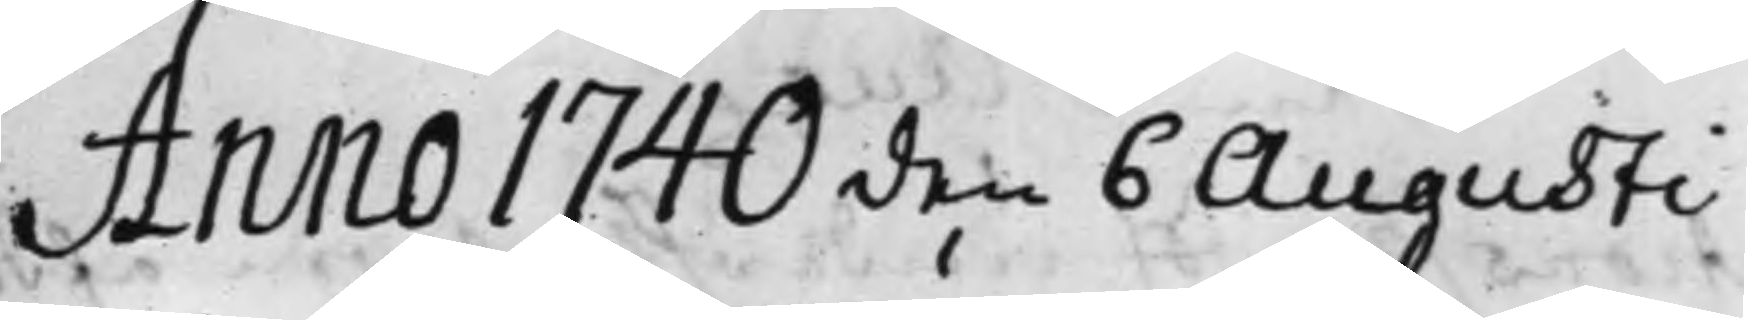Anno 1740 den 6 Augusti
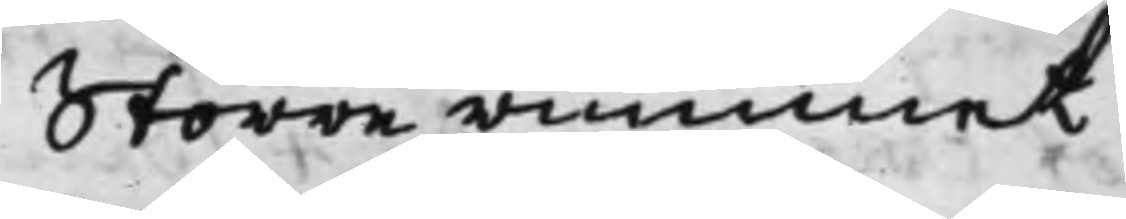Större rummet
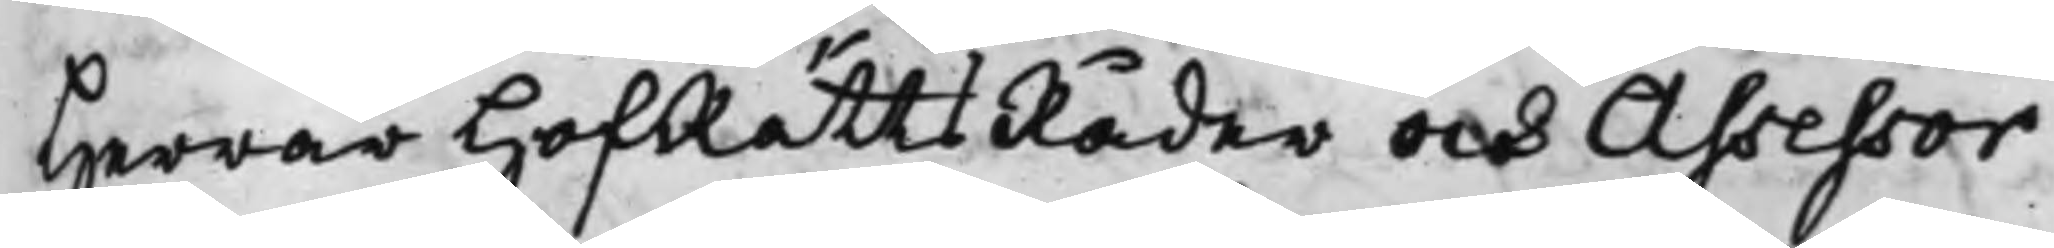Herrar HofRättsRåder och Assessor
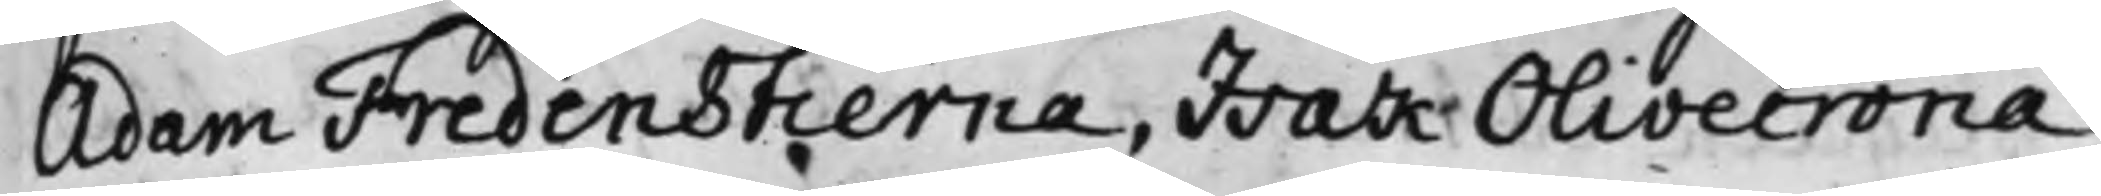Adam Fredenstierna, Isak Olivecrona
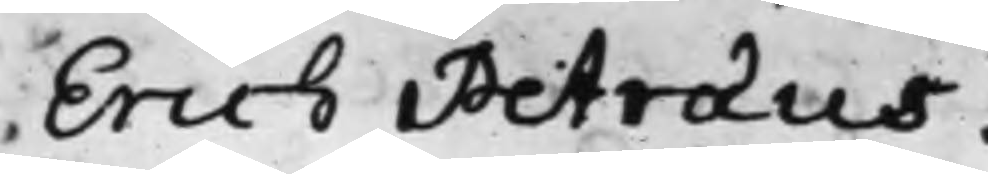Erich Petraeus.
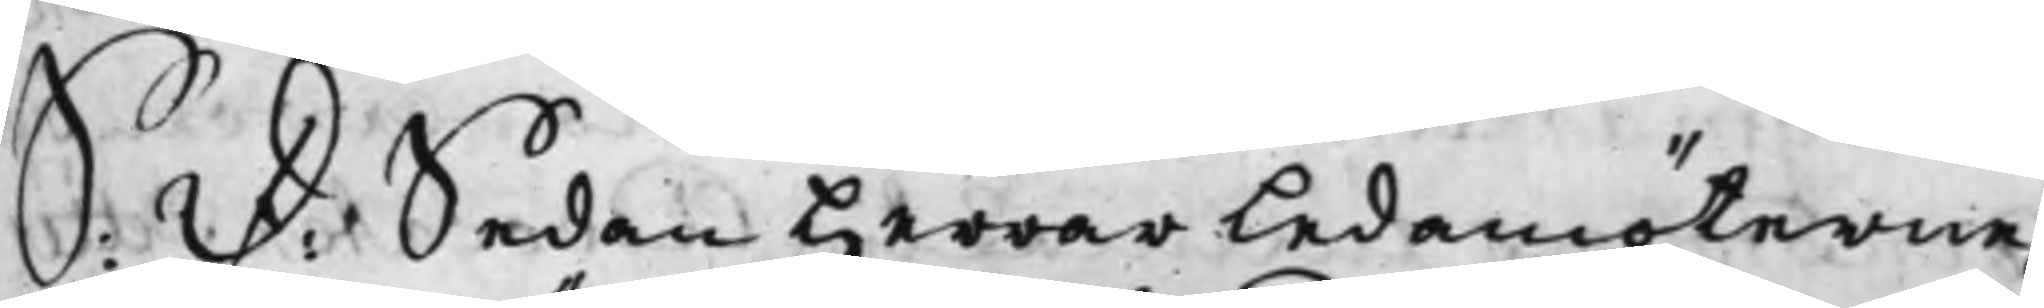S: D: Sedan Herrar Ledamöterne
